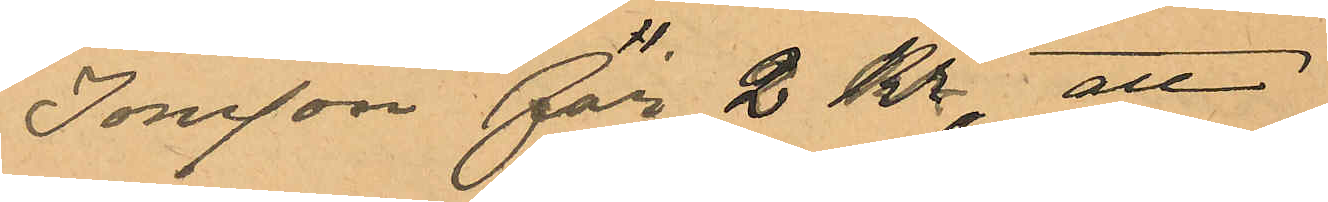Jonsson för 2 Kr; att
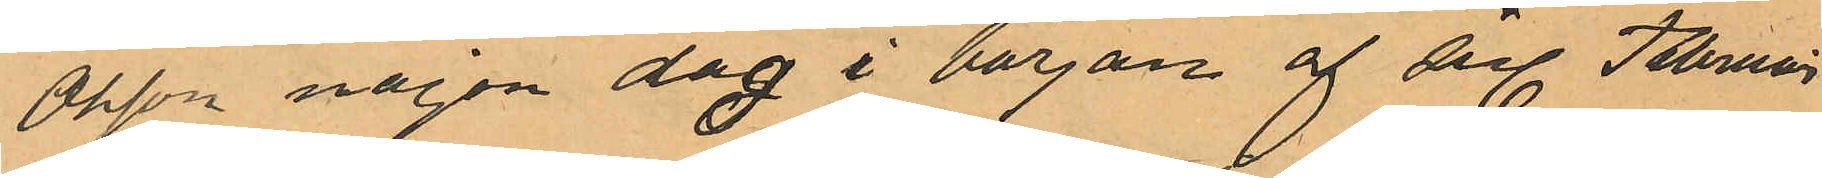Olsson någon dag i början af sistl Februari
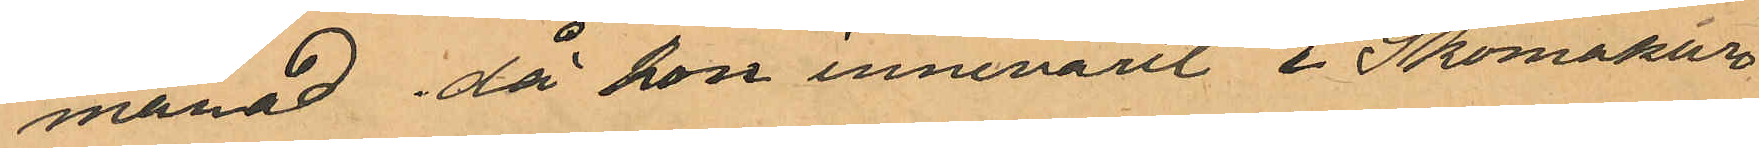månad då hon innevarit i Skomakar¬
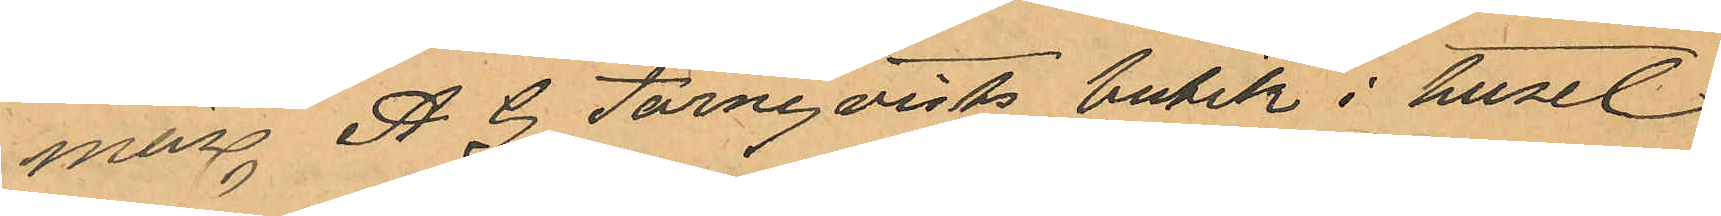en A. G. Törnqvists butik i huset
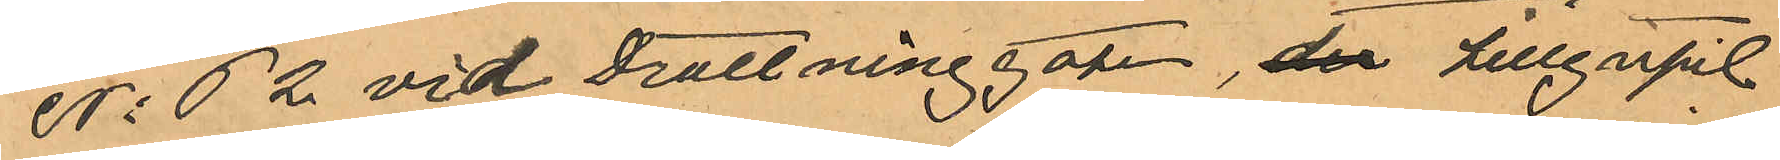No 62 vid Drottninggatan, der tillgripit
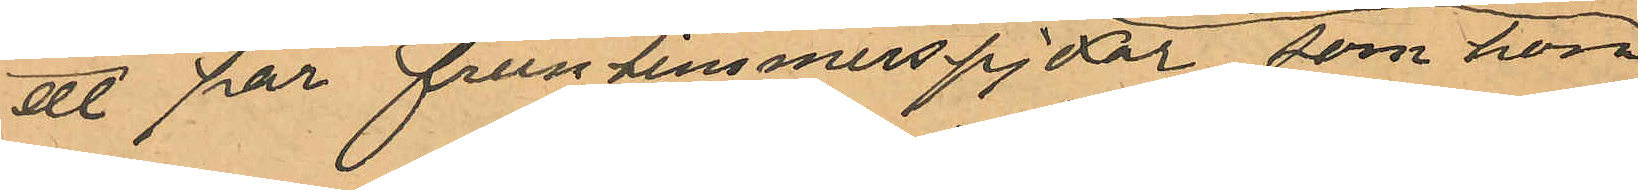ett par fruntimmerspjexor som hon
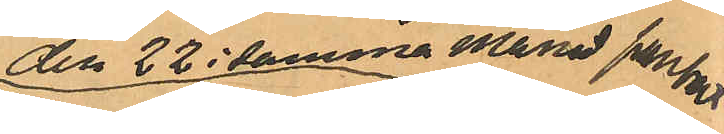den 22 i samma månad pansatt
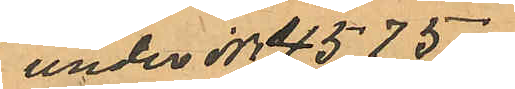under No 4575
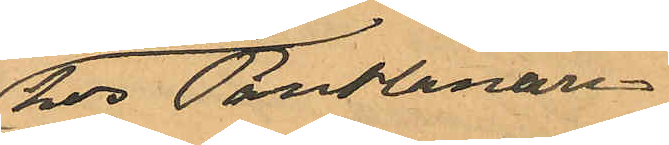hos Pantlånaren
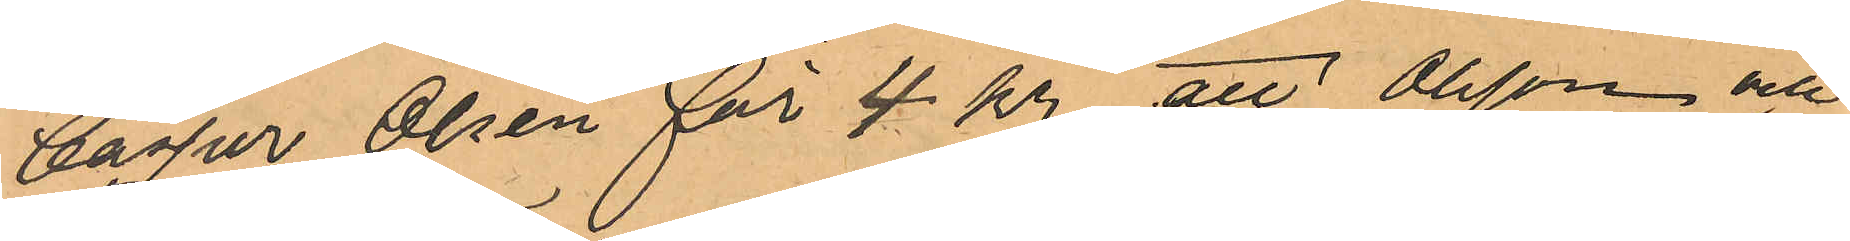Casper Olsèn för 4 kr, att Olsson och
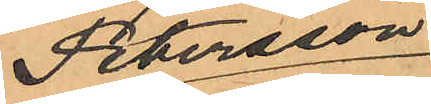Petersson
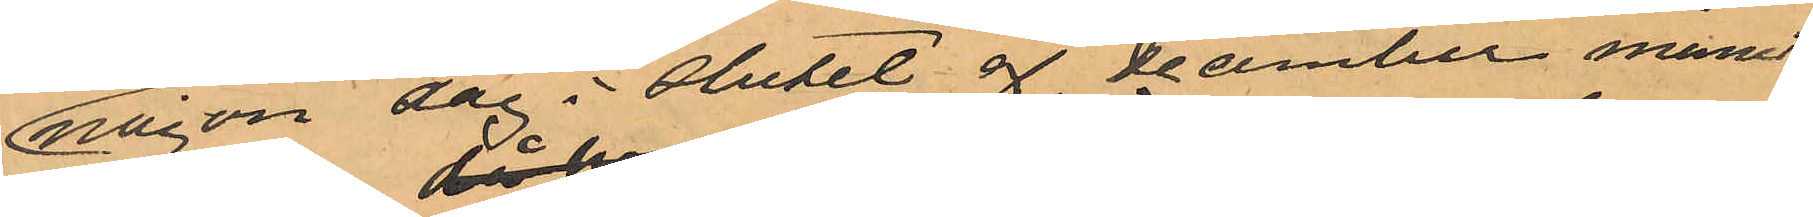någon dag i slutet af December månad
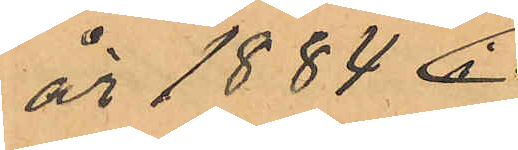år 1884
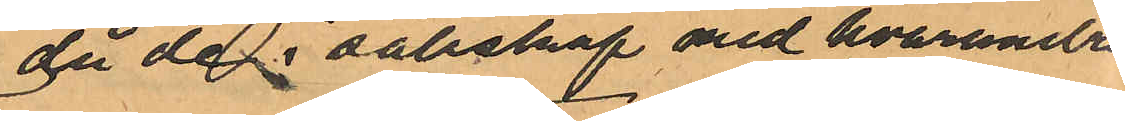då de i sällskap med hvarandra
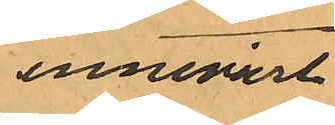innevarit
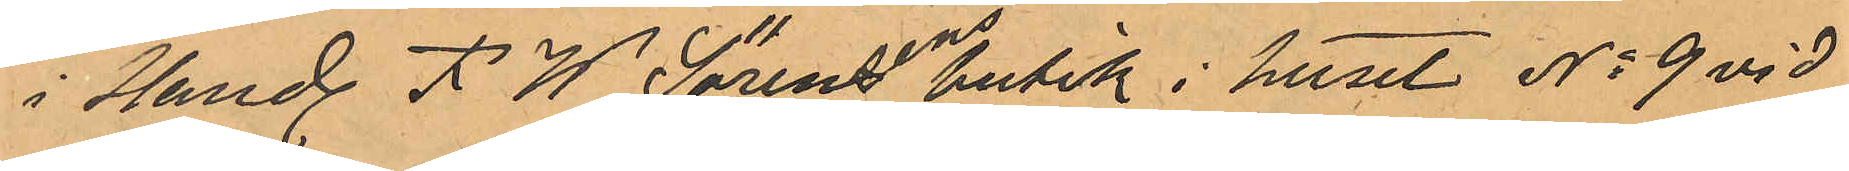i Hand. F. W. Sörensens butik i huset No 9 vid
